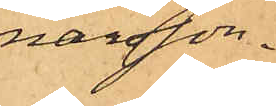narsson.
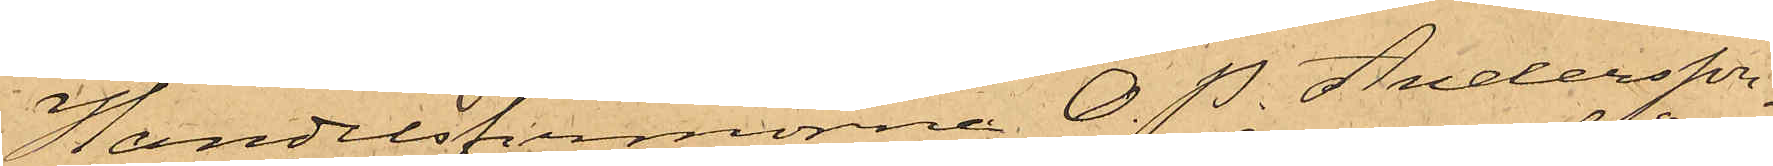Handelsfirmorna O. P. Andersson,
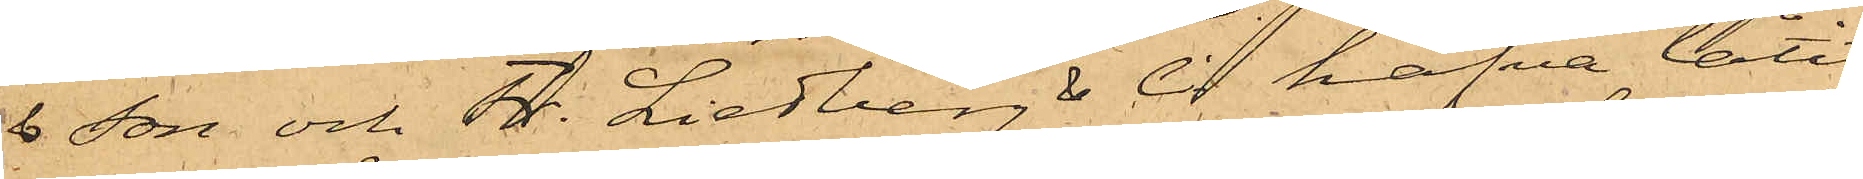& Son och Fr. Liedberg & Ci hafva låtit
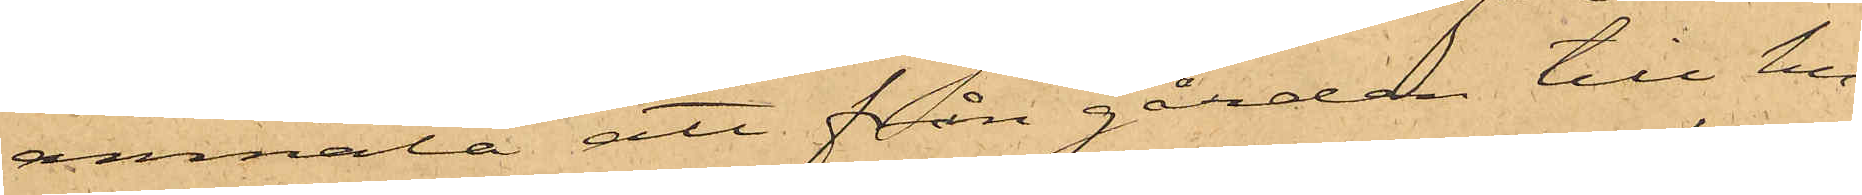anmäla att från gården till hu¬
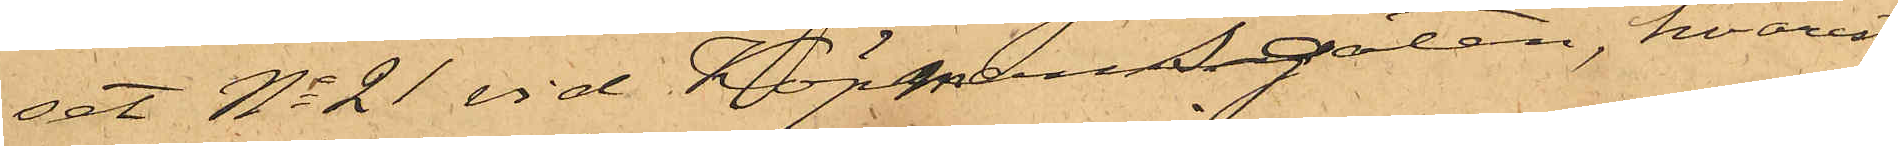set No 21 vid Köpmansgatan, hvarest
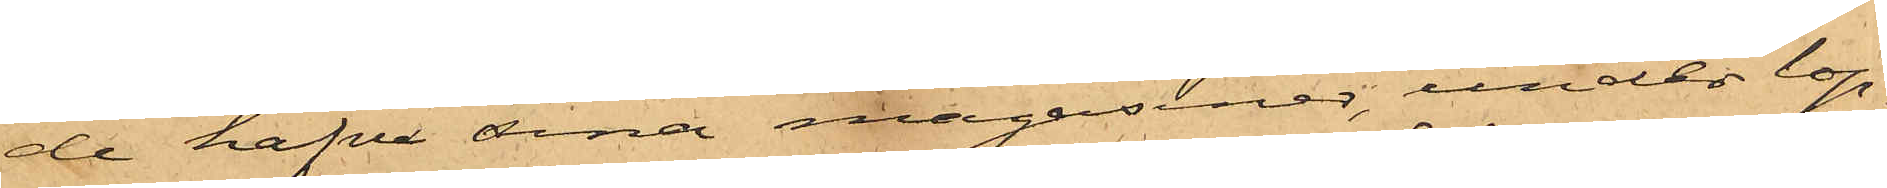de hafva sina magasiner, under lop¬
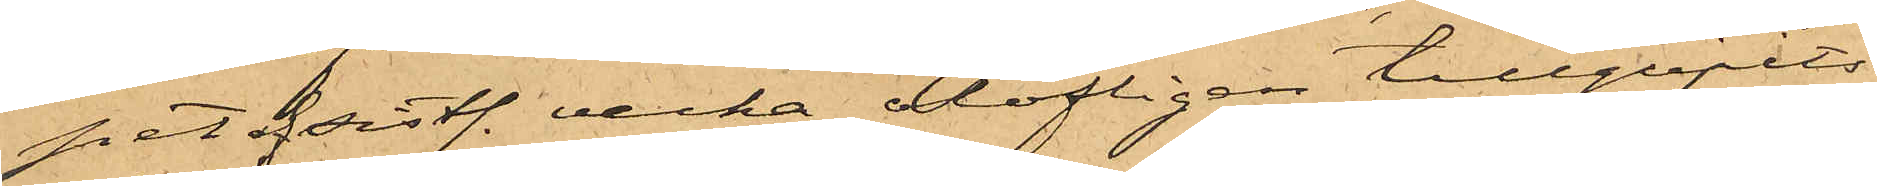pet af sistl. vecka olofligen tillgripits
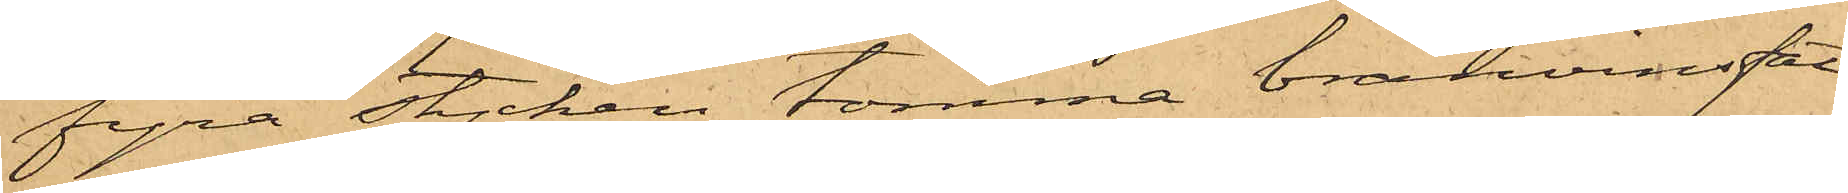fyra stycken tomma brännvinsfat
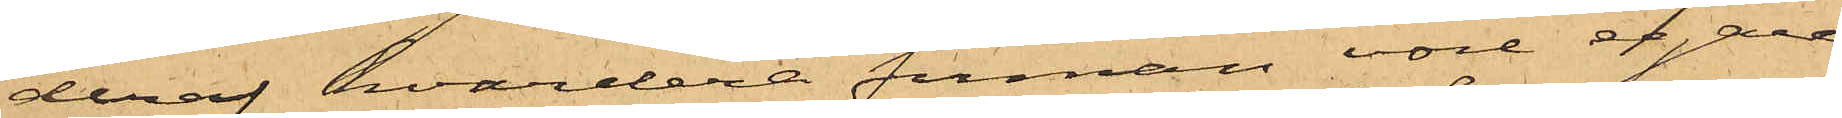deraf hvardera firman vore egare
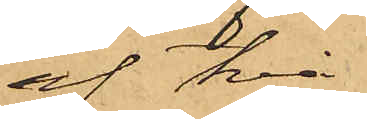af två
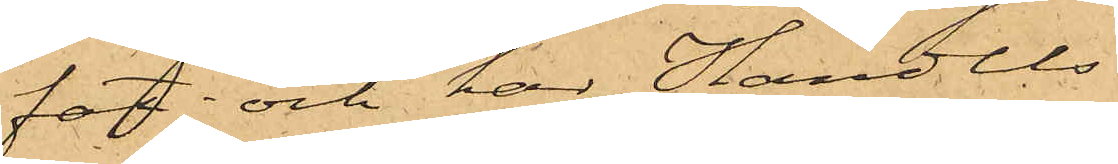fat; och har Handels¬
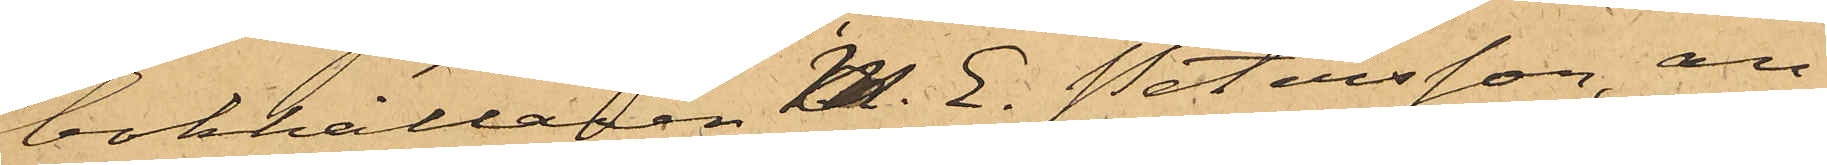bokhållaren M. E. Petersson, an¬
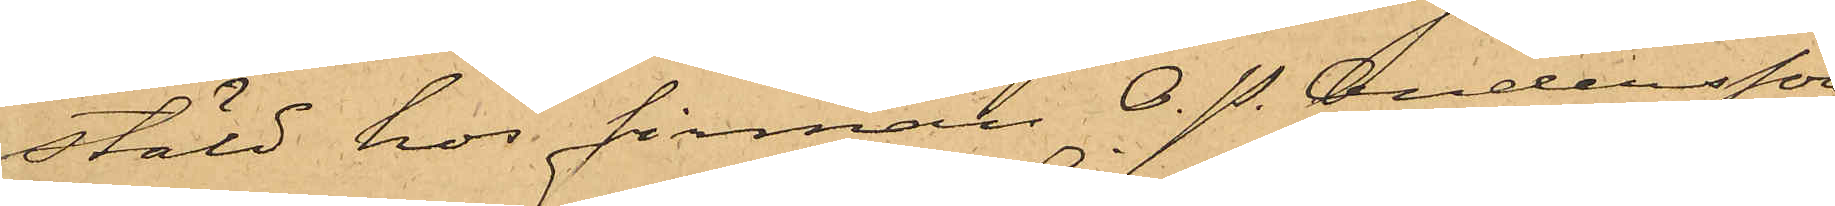stäld hos firman O. P. Andersson
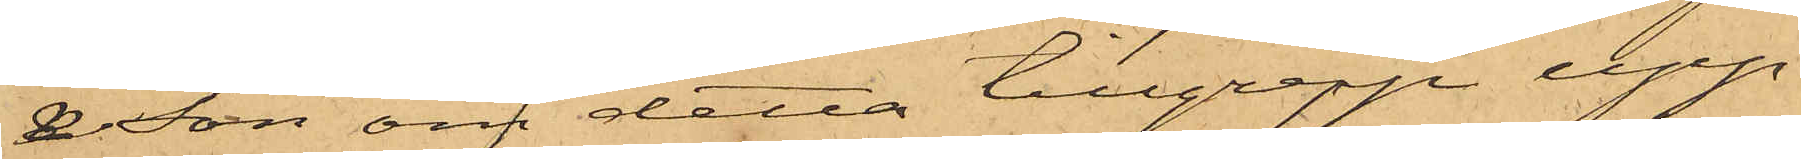& Son om detta tillgrepp upp¬
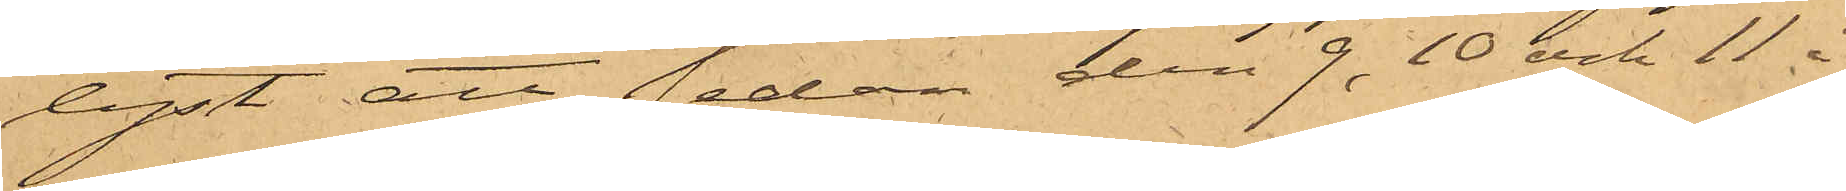lyst, att sedan den 9, 10 och 11 i
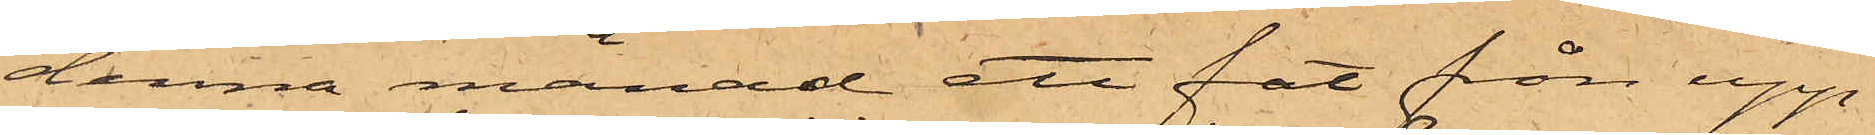denna månad ett fat från upp¬
